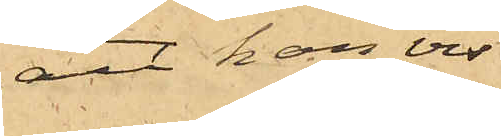att han vis¬
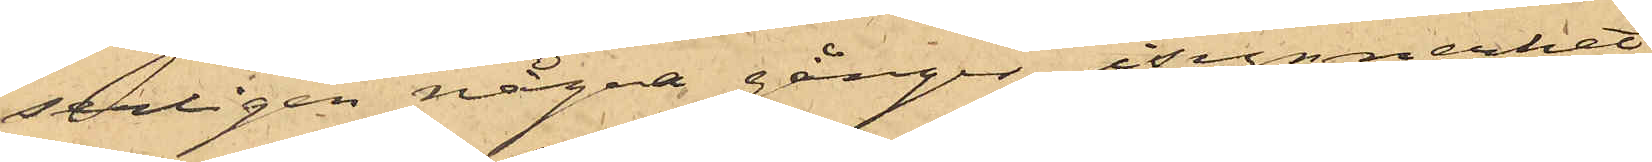serligen några gånger, i synnerhet
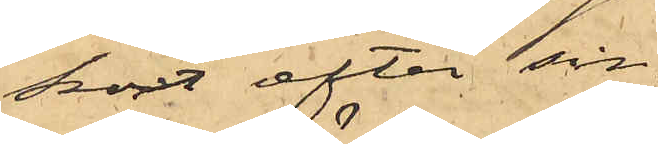kort efter sin
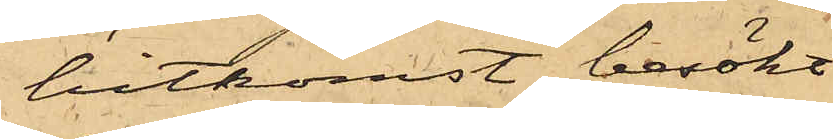hitkomst besökt
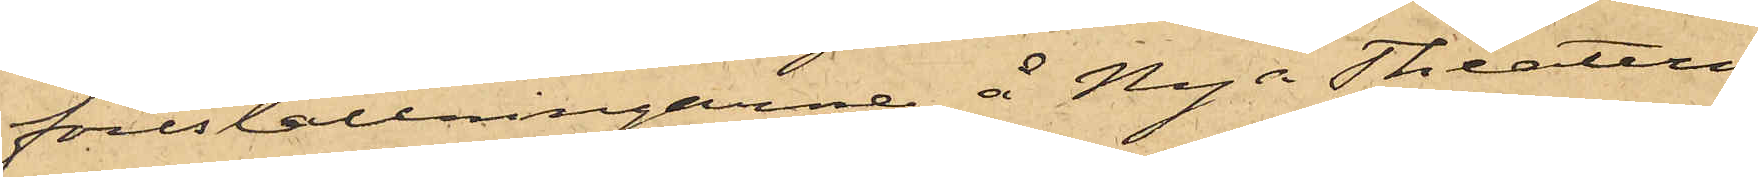föreställningarne å Nya Theatern
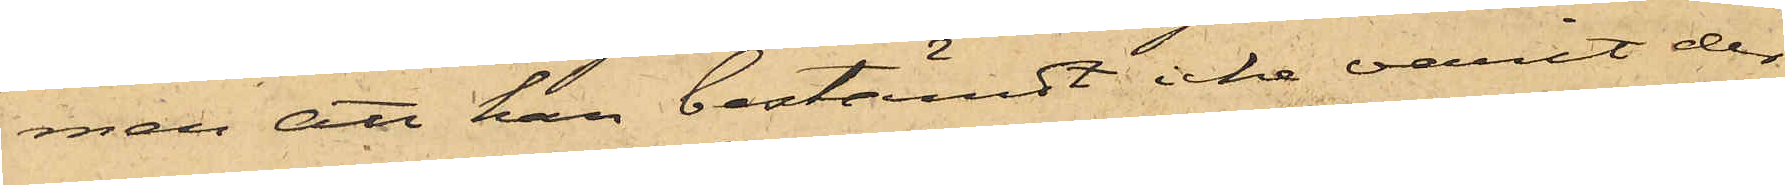men att han bestämdt icke varit der
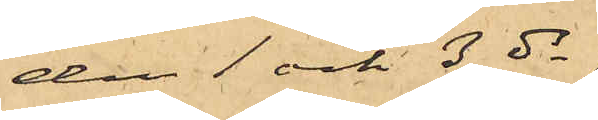den 1 och 3 ds,
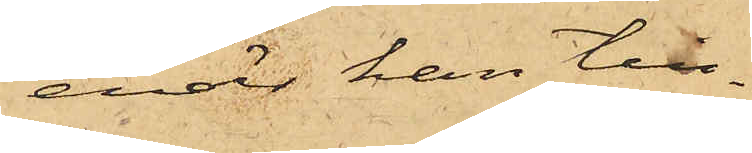enär han till¬
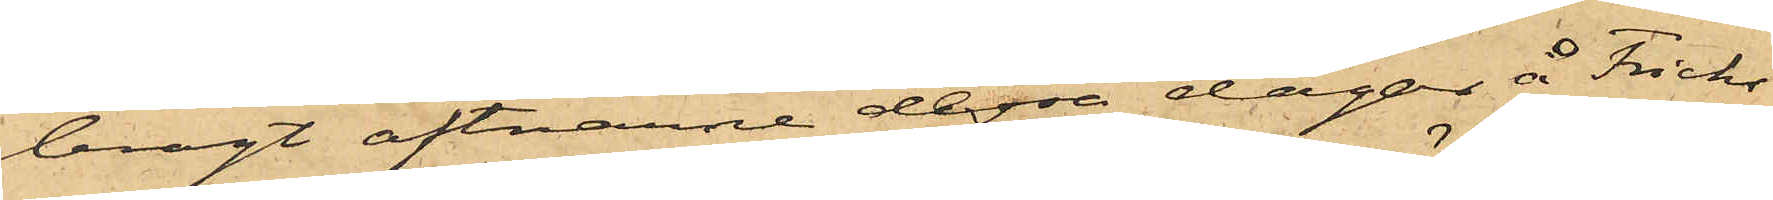bragt aftnarne dessa dagar å Fricks
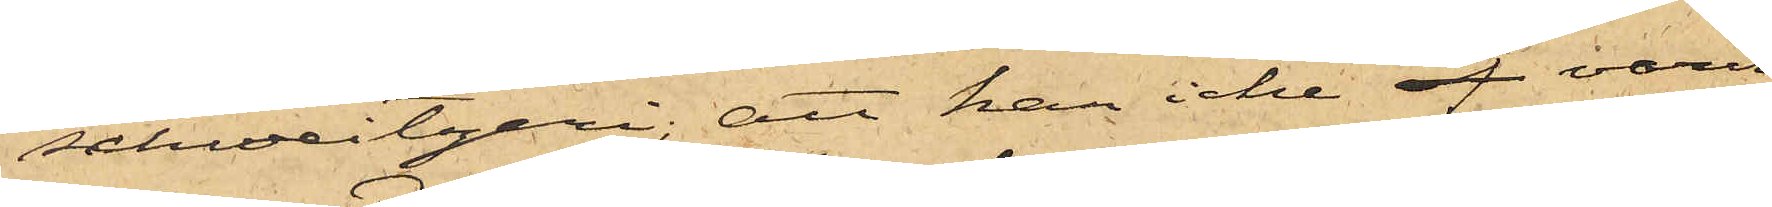schweitzeri; att han icke äf varit
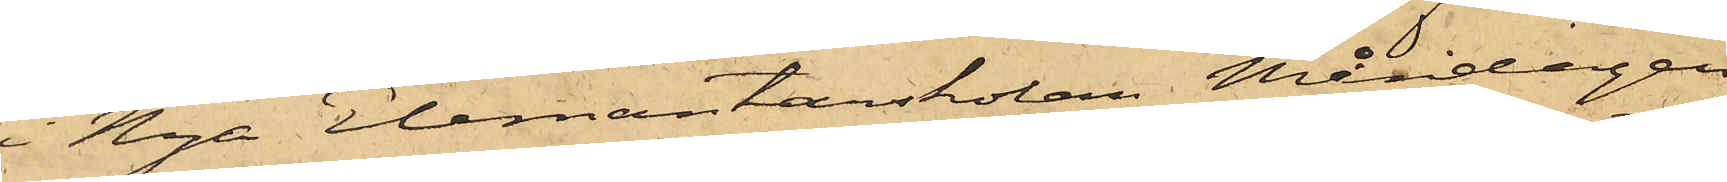i Nya Elemantarskolan Måndagen
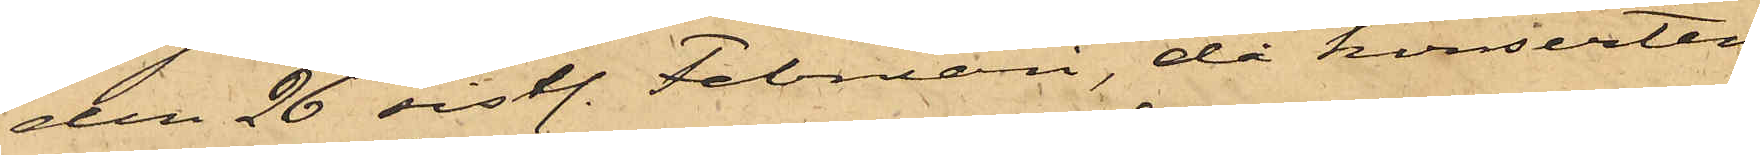den 26 sistl. Februari, då konserten
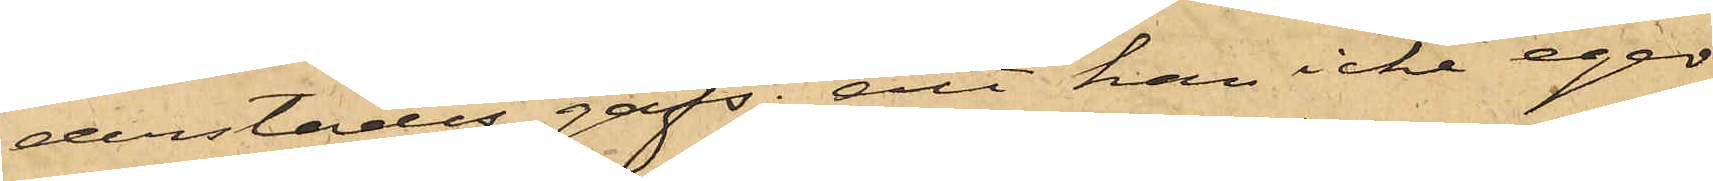derstädes gafs; att han icke eger
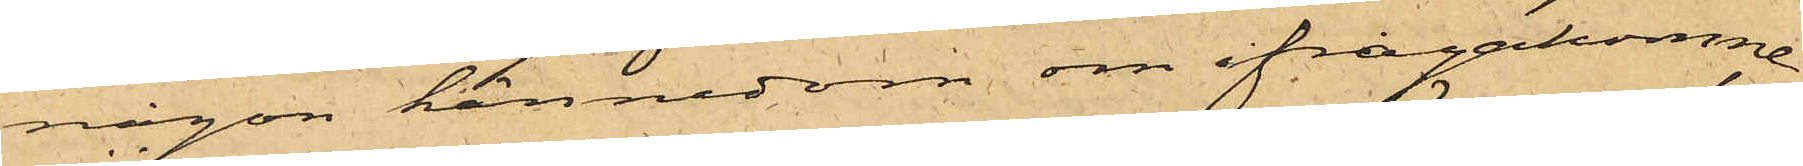någon kännedom om ifrågakomne
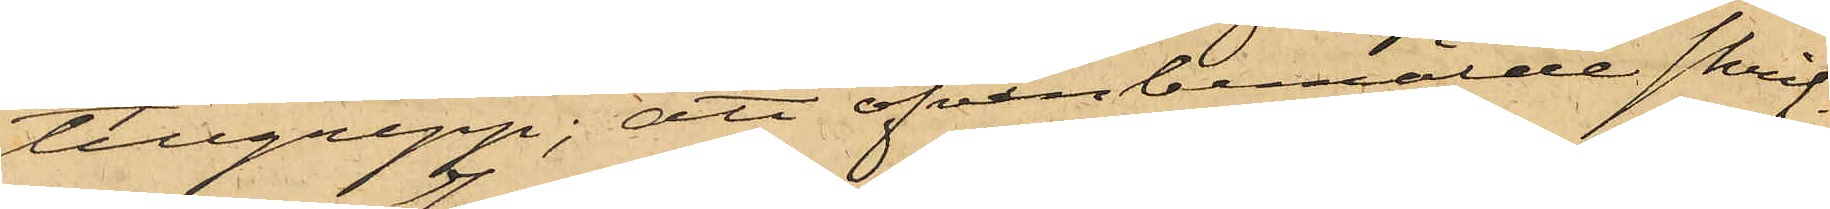tillgrepp; att ofvanbemälde skrif¬
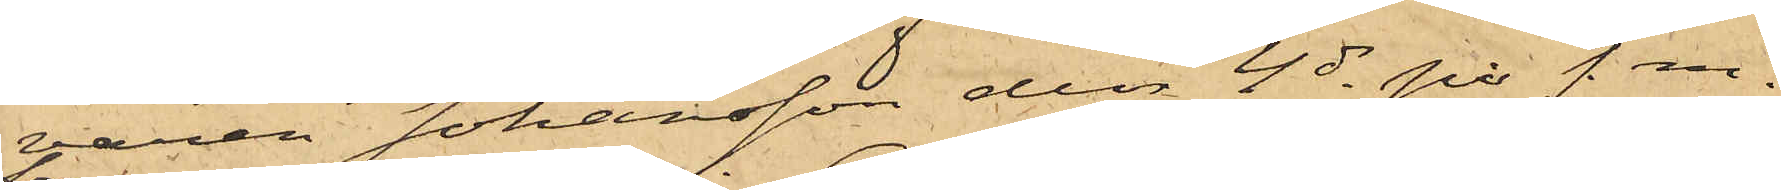aren Johansson den 4 ds på f. m.
